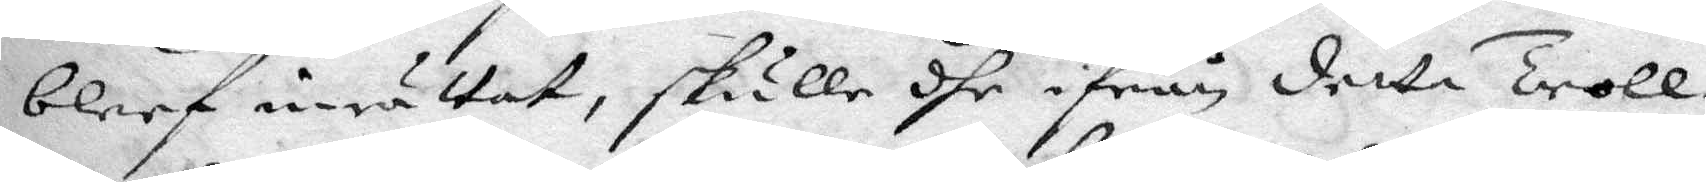bleef inrättat, skulle dhe ifrån detta Troll¬
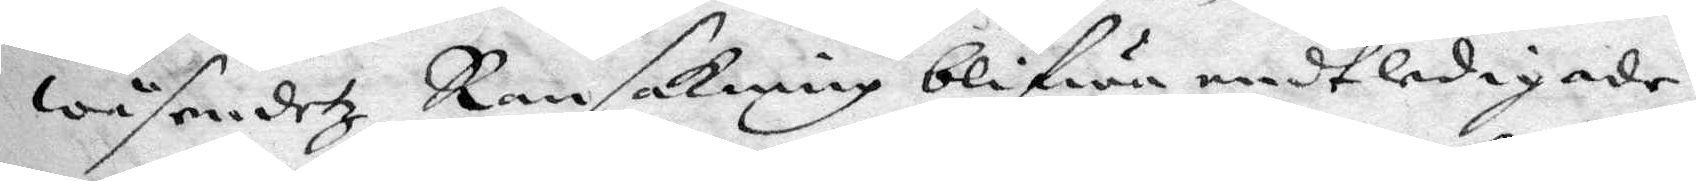wäsendetz Ransakning blifwa endtledigade,
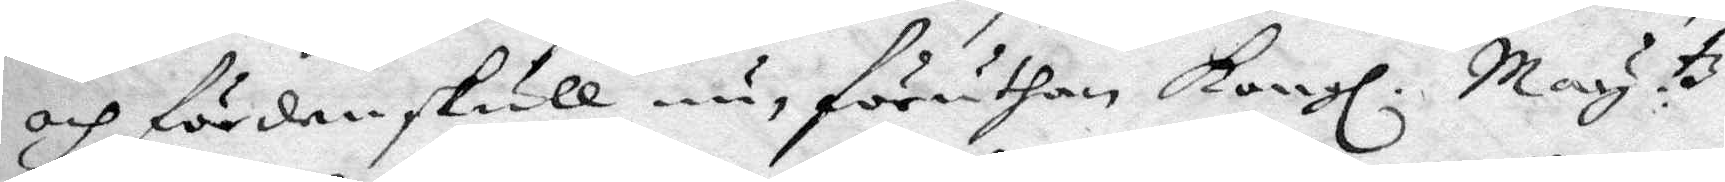och fördenskull nu, föruthan Kongl. May.tz
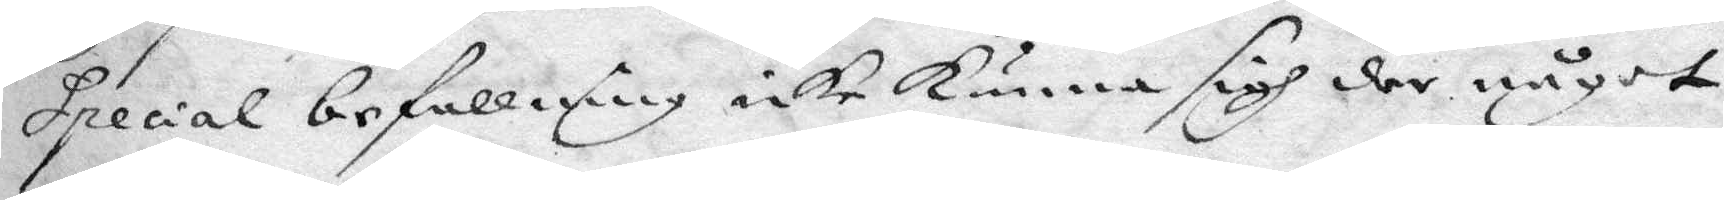Special befallning icke kunna sigh der något
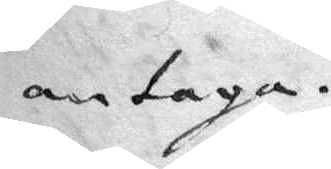antaga.
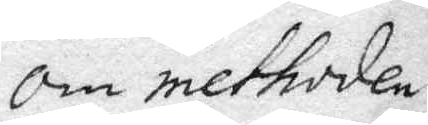Om methoden,
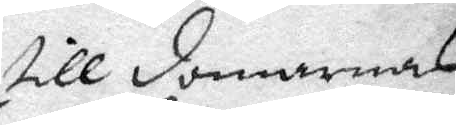till domarnas
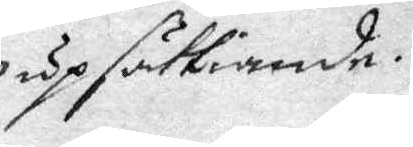upsättiande.
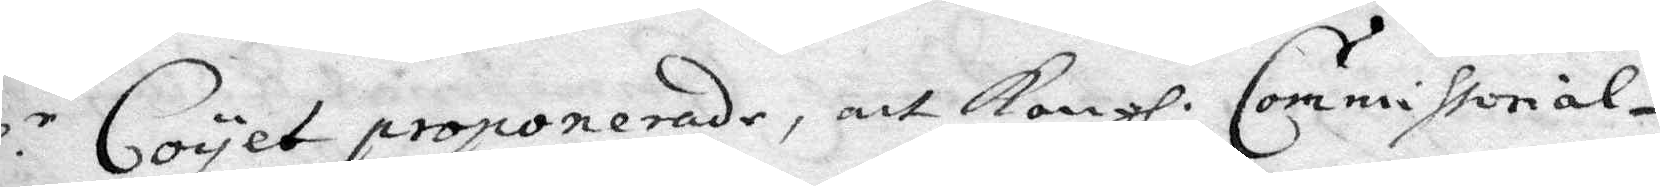Hl.r Coyet prononerade, att Kongl. Commissorial¬
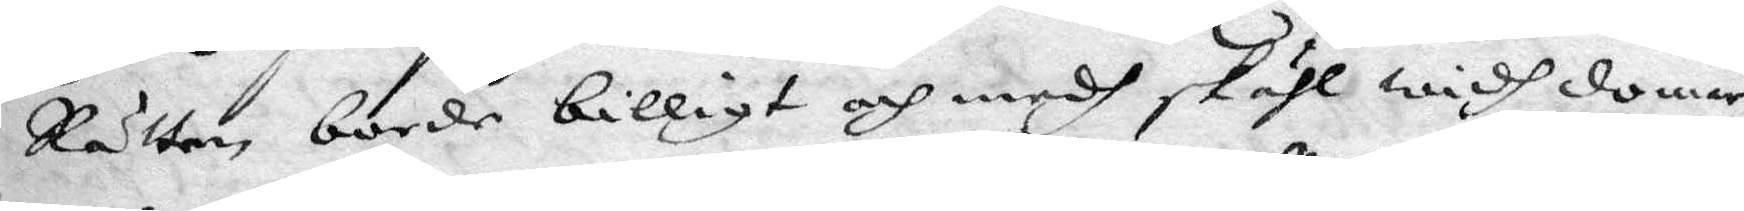Rätten borde billigt och medh skähl widh domar¬
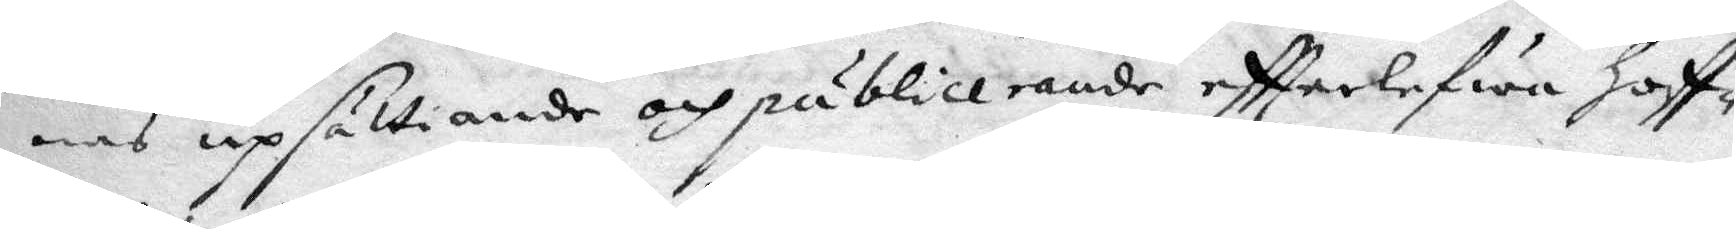nas upsättiande och publicerande eftterlefwa hoff¬
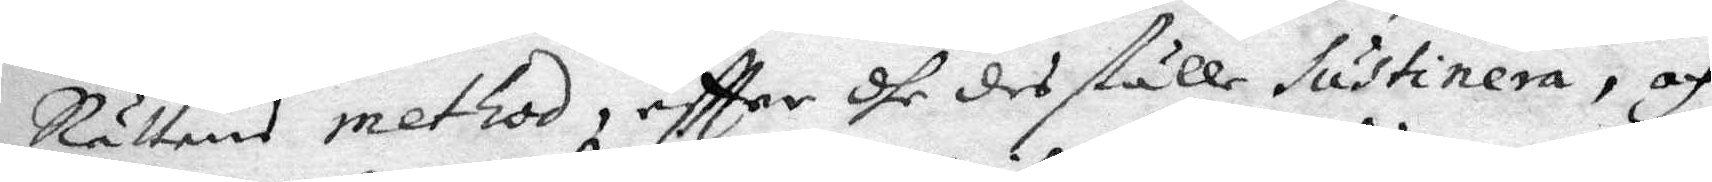Rättens method, effter dhe des ställe sustinera, och
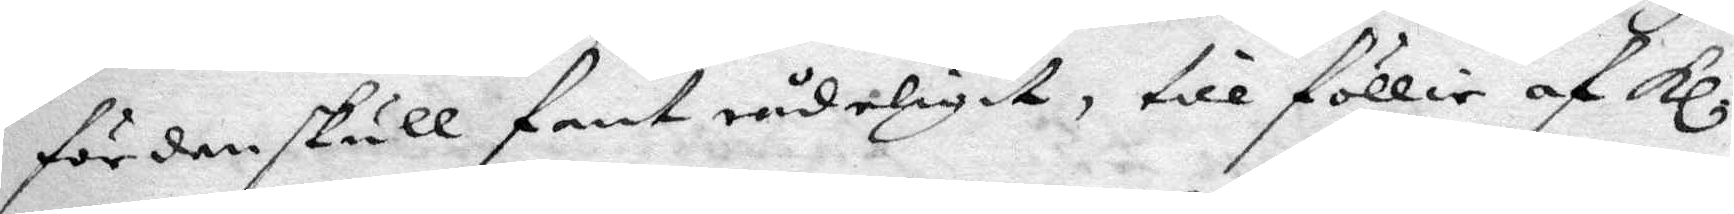fördenskull fant rådeligit, till föllie af Kl.
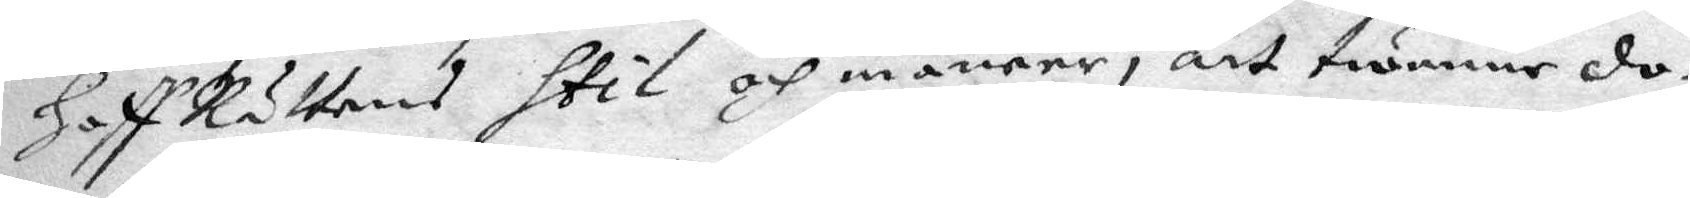HoffRättens Stil och maneer, att twänne do¬
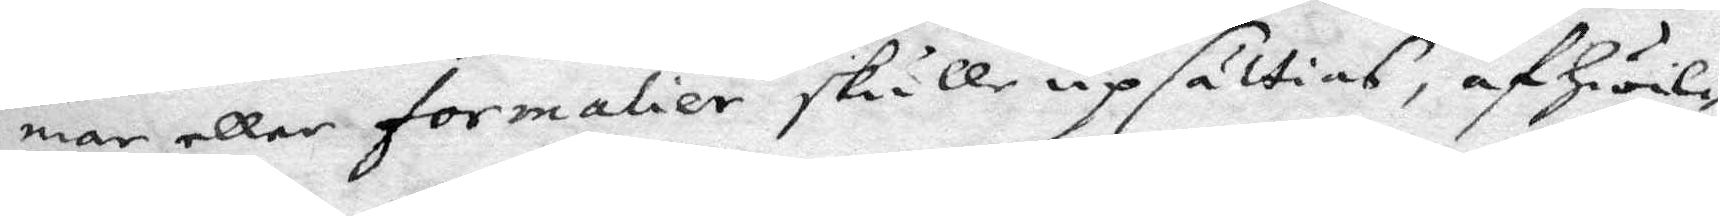mar eller formalier skulle upsättias, af Hwil¬
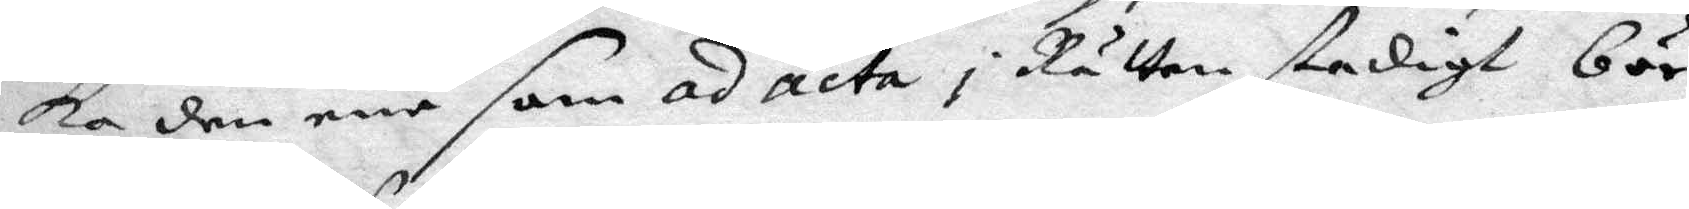ka den ene som ad acta i Rätten stadigt bör
